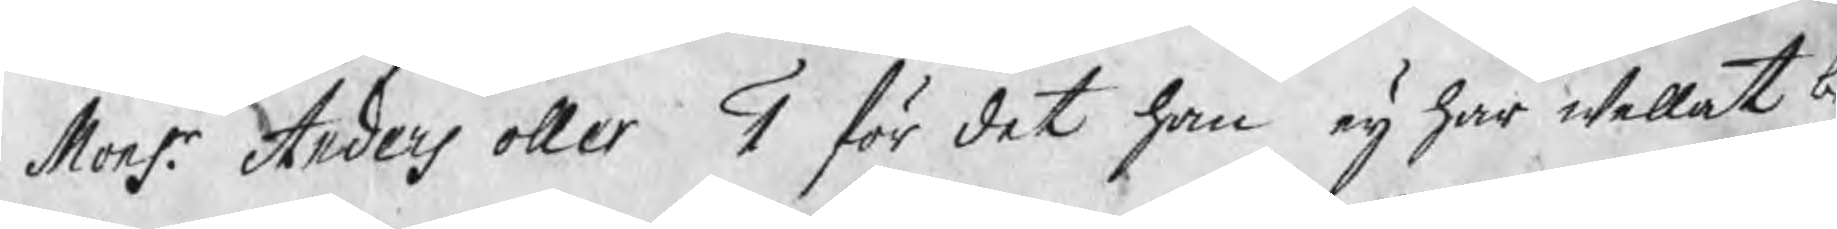Monsr. Anders oller 1 för det han eij har wellat b
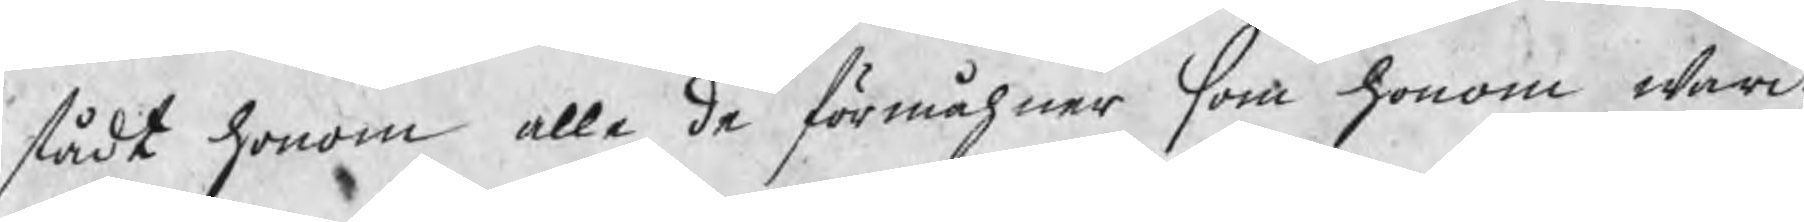stådt honom alle de förmåhner som honom warit
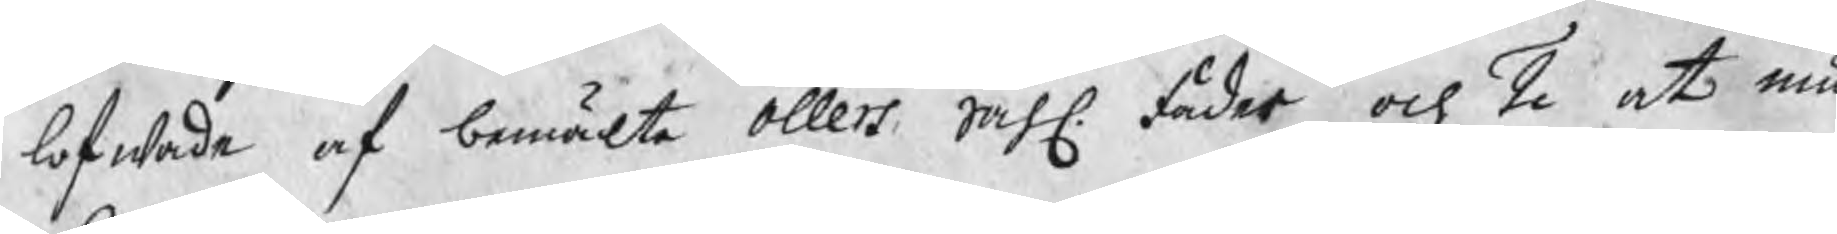lofwade af bemälte Ollers Sahl. fader och 2 at Mu
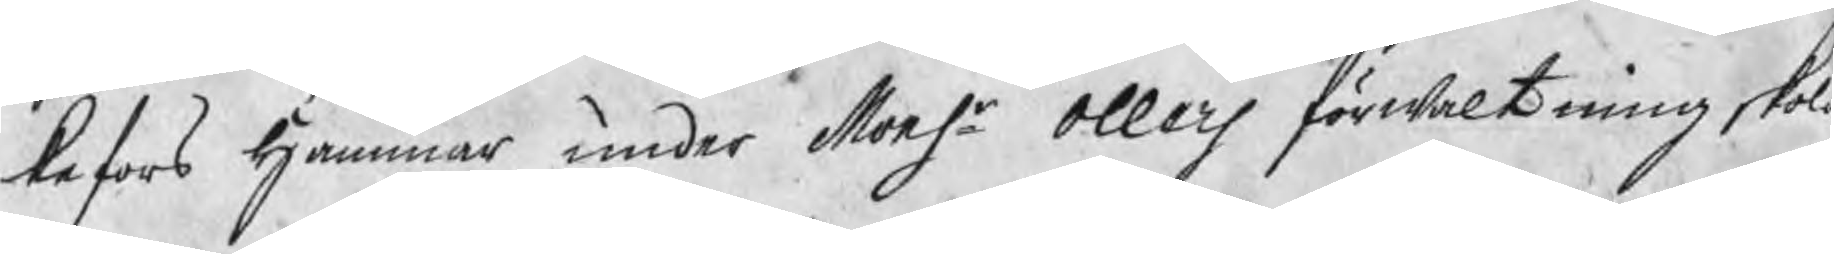kefors Hammar under Monsr Ollers förwaltning skola
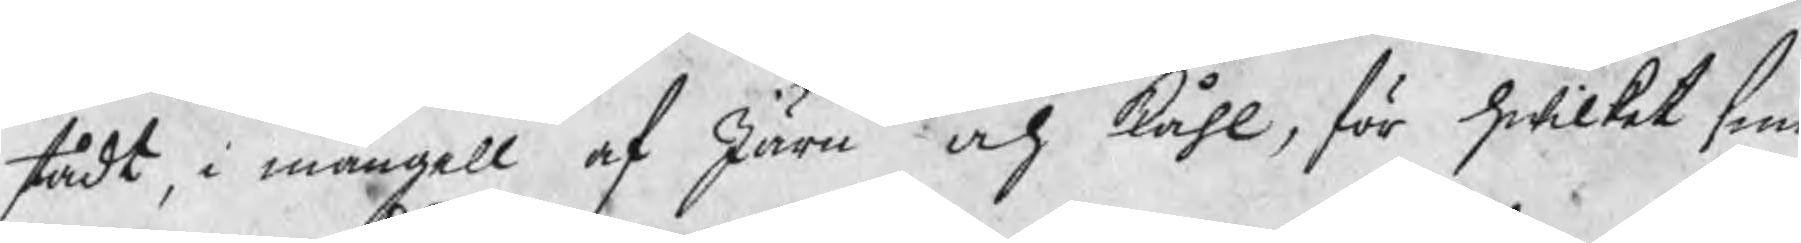stådt i mangell af Järn och Kåhl, för hwilket sme
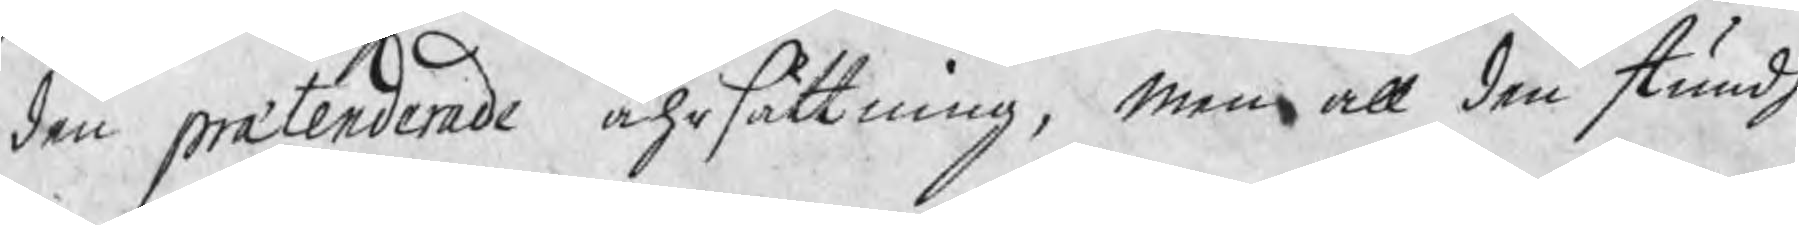den prætenderade ährsättning, Men att den stundh
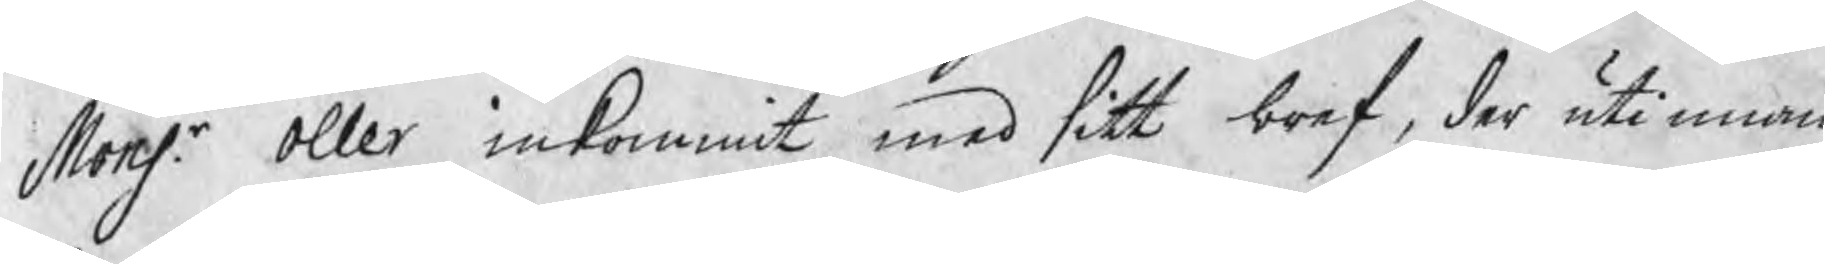Monsr. Oller inkommit med sitt bref, der utinnan
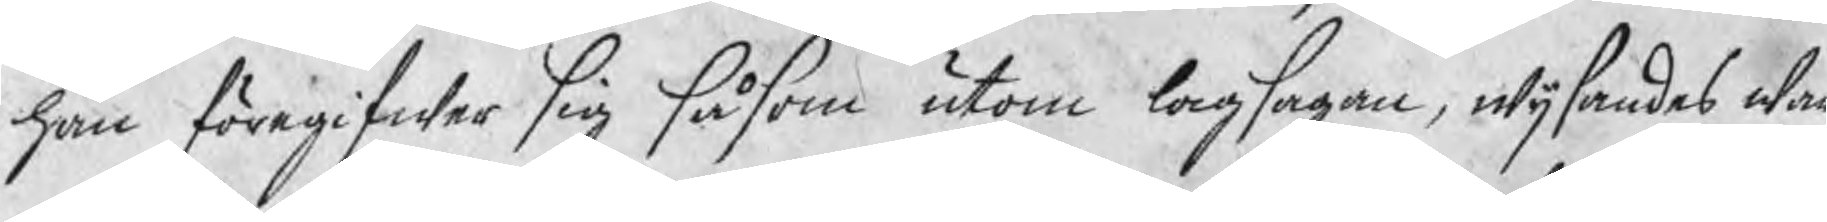han föregifwer sig såsom utom lagsagan, wijsandes wa
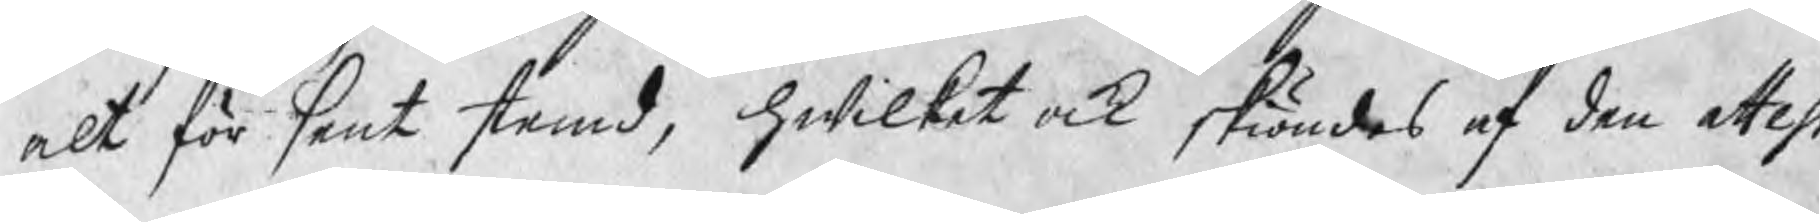alt för sent stemd, hwilket ock skiöndes af den attest
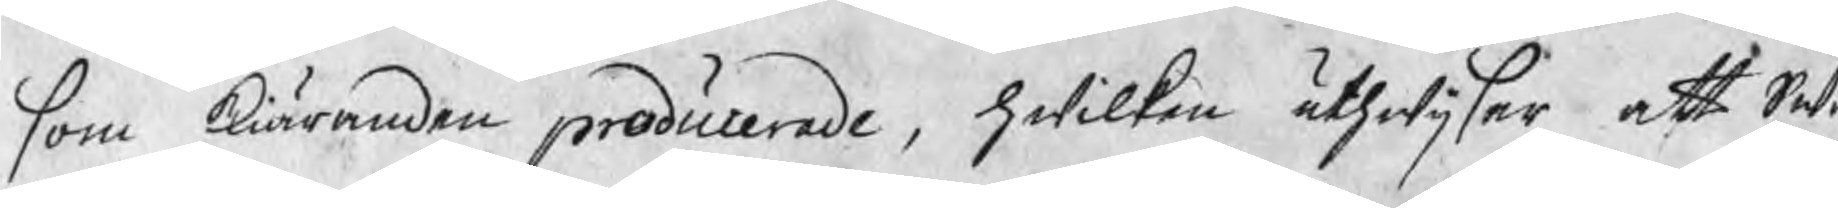som kiäranden producerade, hwilken uthwijsar att Sw
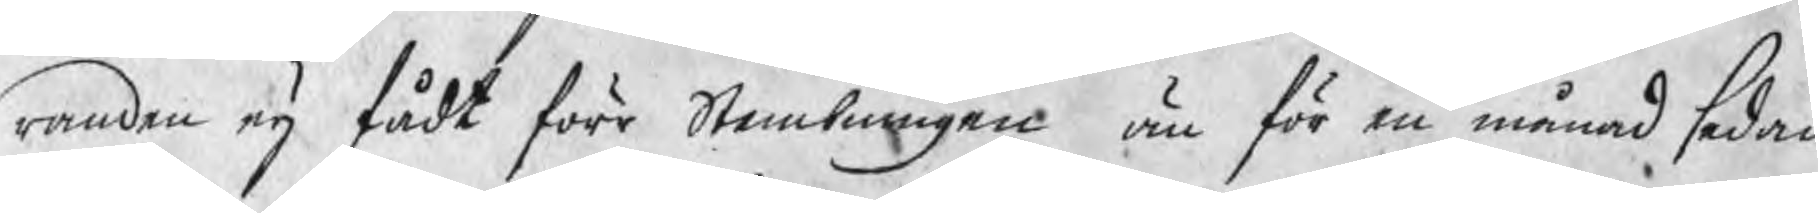randen eij fådt förr Stembningen än för en månad sedan
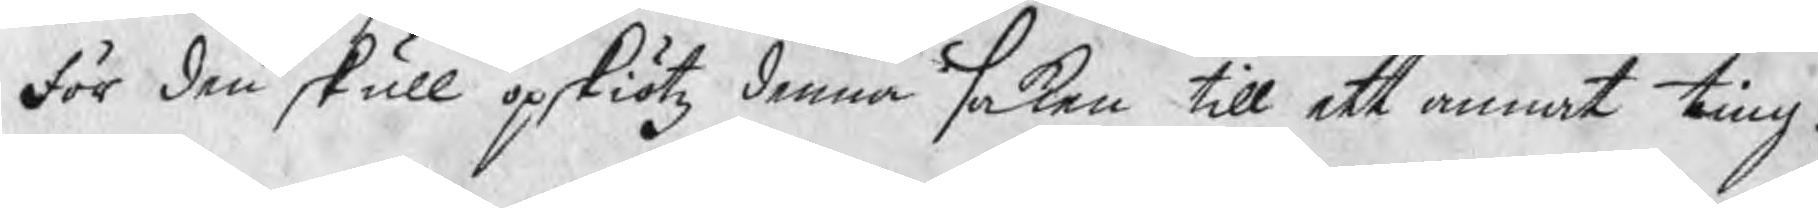För den skull opskiötz denna saken till ett annat ting.
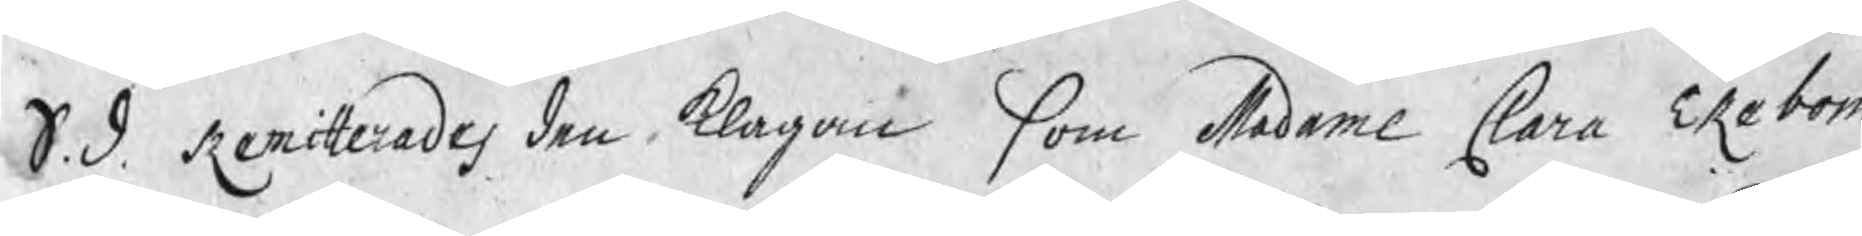S. d. Remitterades den klagan som Madame Clara Ekebom
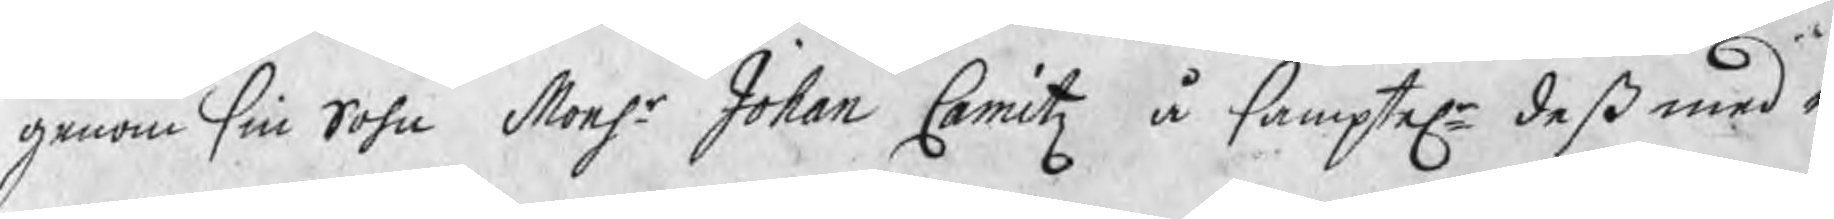genom sin Sohn Monsr. Johan Camitz å samptele deß med in¬
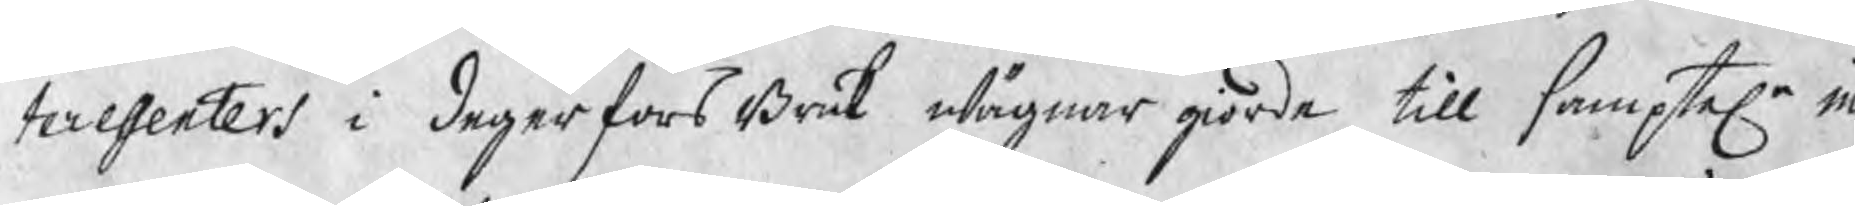teressenters i degerfors Bruk wägnar giorde till samptele in
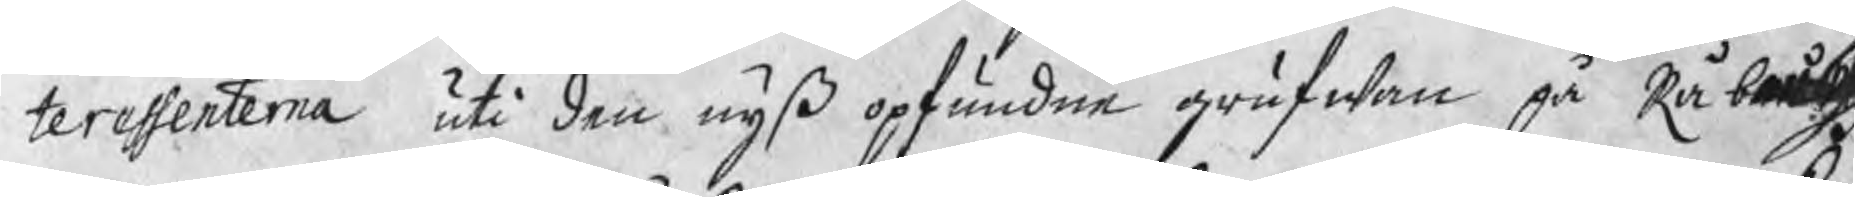teressenterna uti den nyß opfundne grufwan på Rå bärgs
